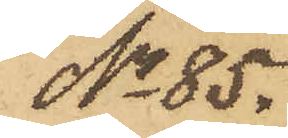No 85.
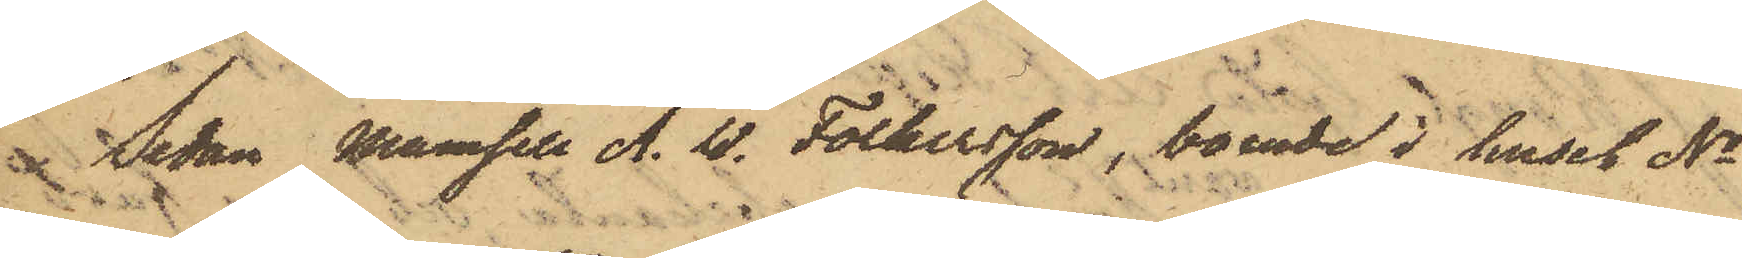 Sedan Mamsell A. W. Folkersson, boende i huset No
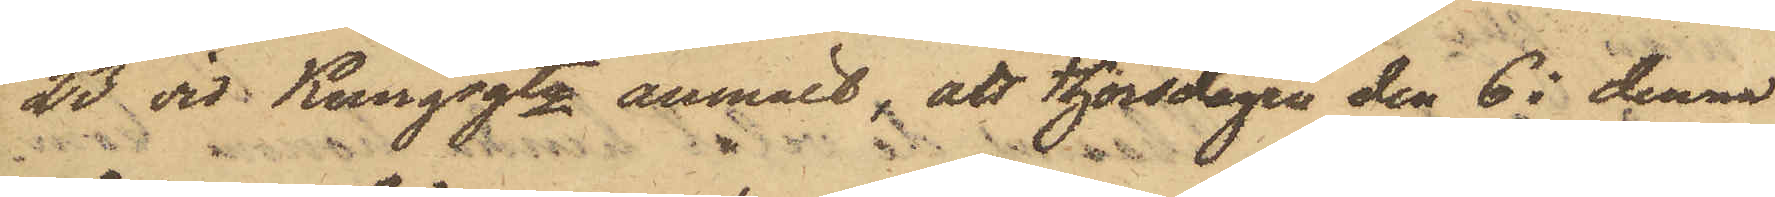23 vid Kungsgtn anmält, att thorsdagen den 6 i denna
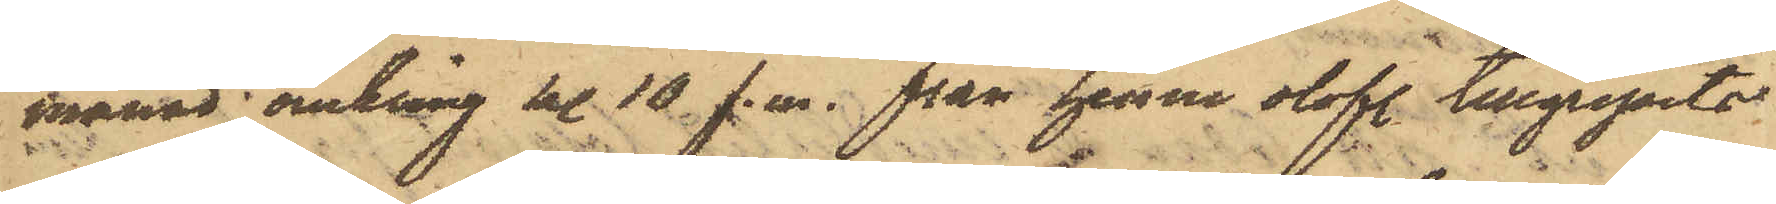månad omkring kl. 10 f. m. från henne olofl. tillgripits
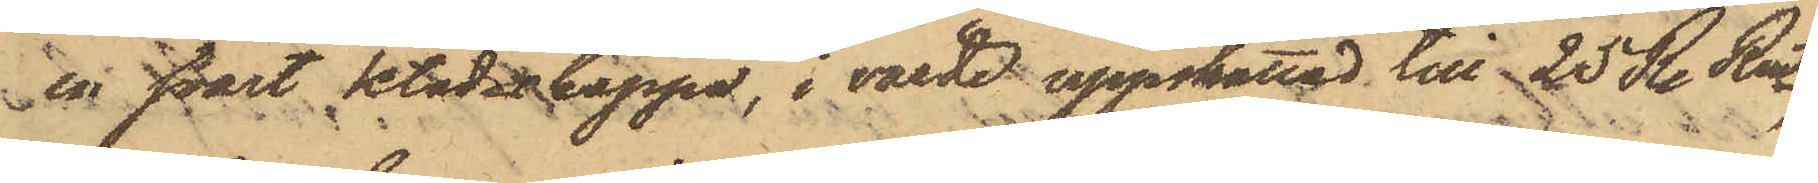en svart klädeskappa, i värde uppskattad till 25 R. Rmt,
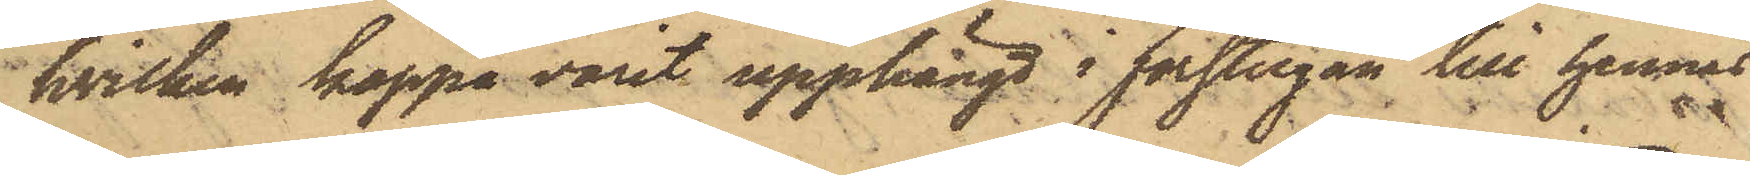hvilken kappa varit upphängd i förstugan till hennes
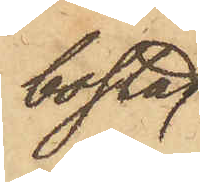bostad
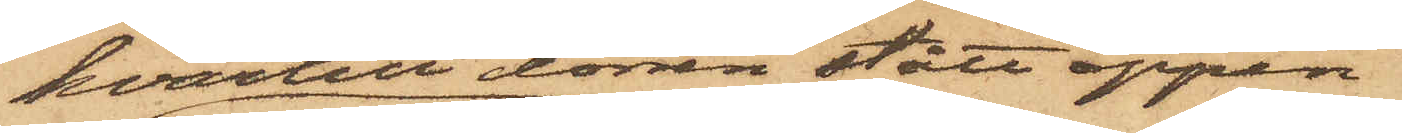hvartill dörren stått öppen;
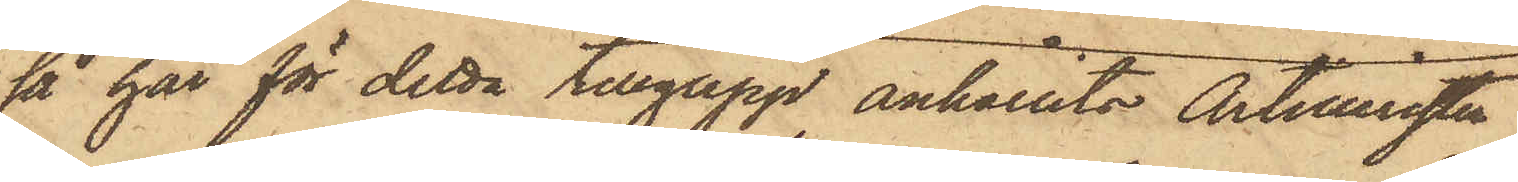så har för detta tillgrepp anhållits Artilleristen
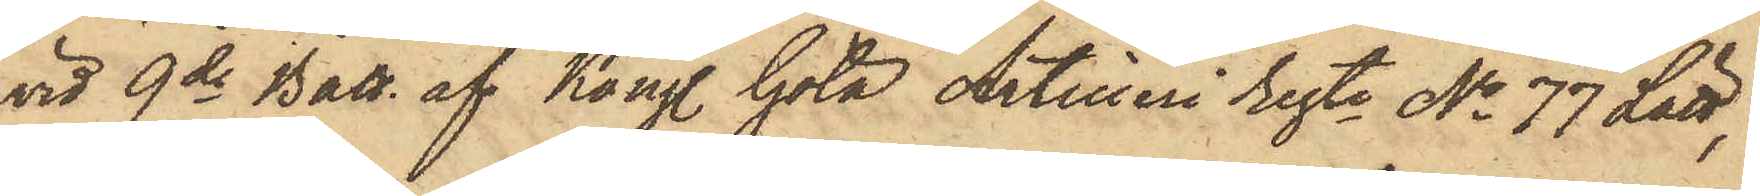vid 9de Batt. af Kongl. Göta Artilleri regte No 77 Lätt,
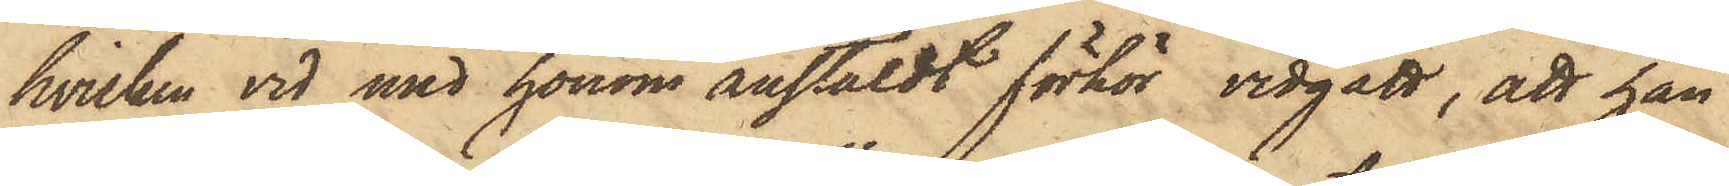hvilken vid med honom anstäldt förhör vidgått, att han
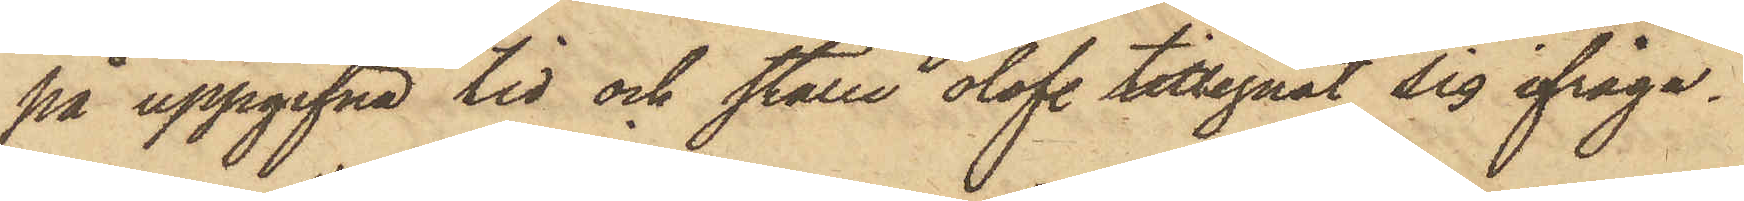på uppgifna tid och ställe olofl. tillegnat sig ifråga¬
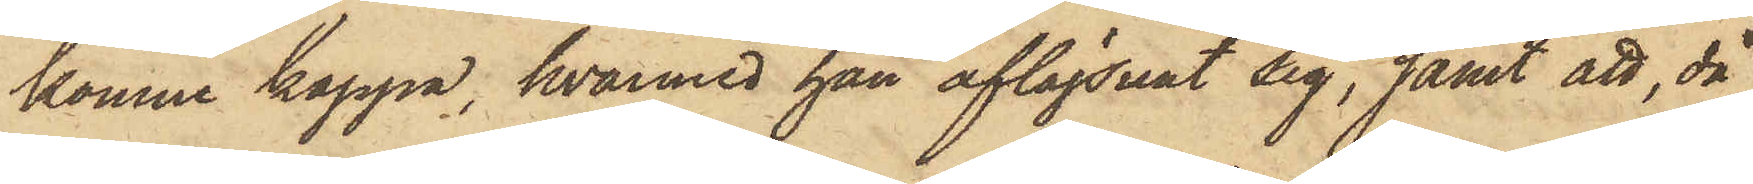komne kappa, hvarmed han aflägsnat sig, samt att, då
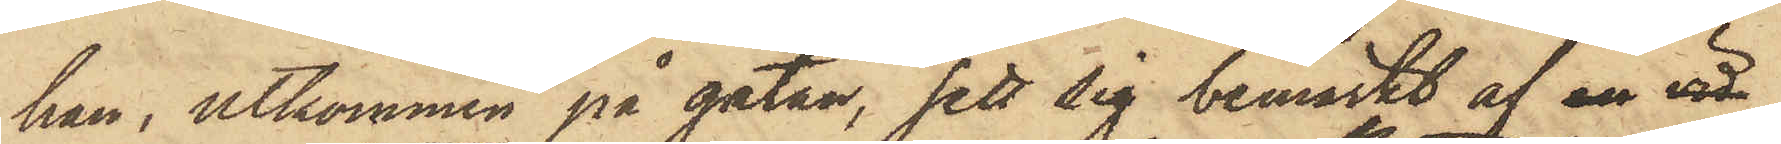han, utkommen på gatan, sett sig bemärkt af en vid
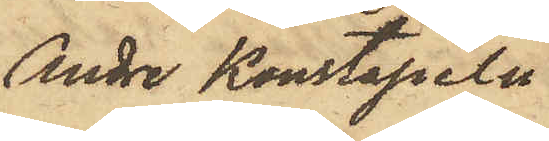Andre Konstapeln
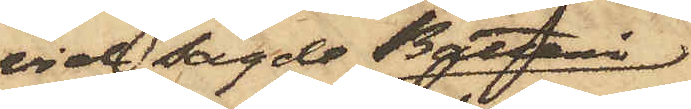vid sagde Batteri
